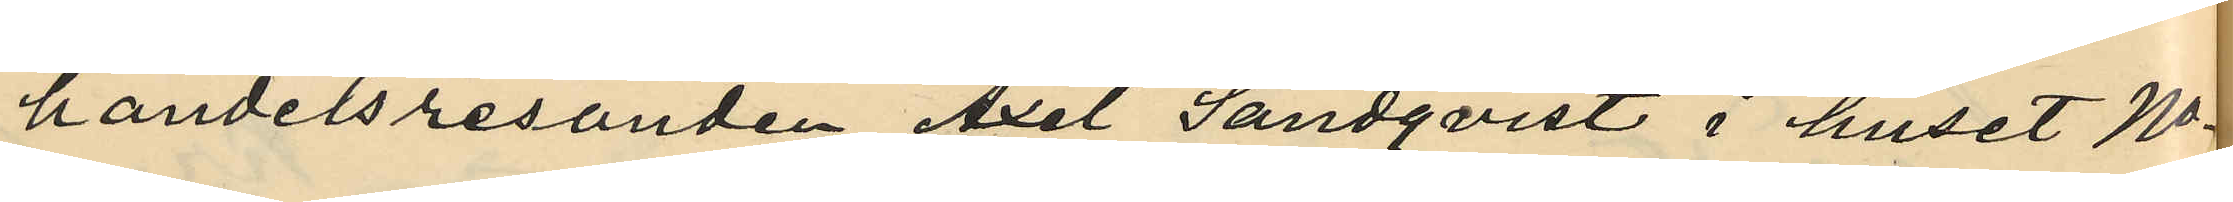handelsresanden Axel Sandqvist i huset No
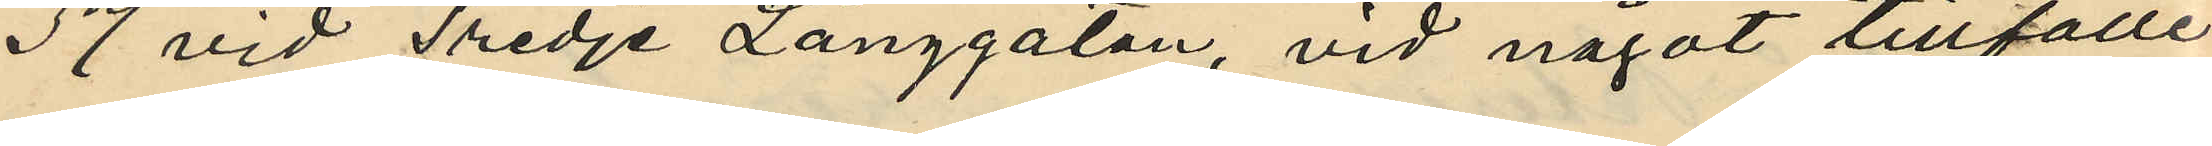37 vid Tredje Långgatan, vid något tillfälle
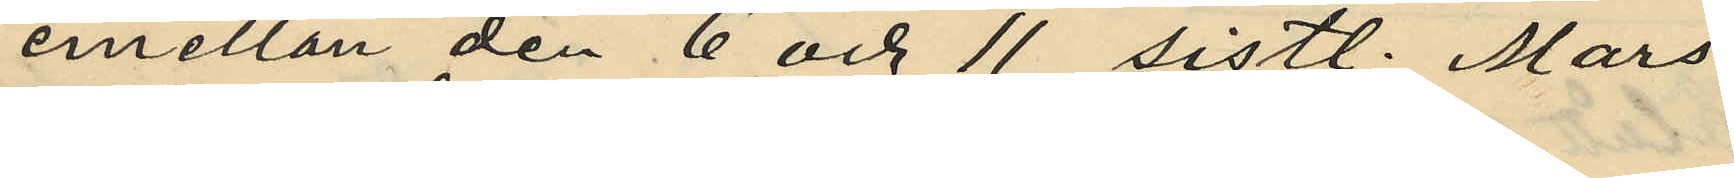emellan den 6 och 11 sistl. Mars:
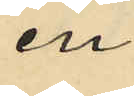en
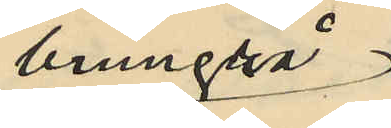brungrå
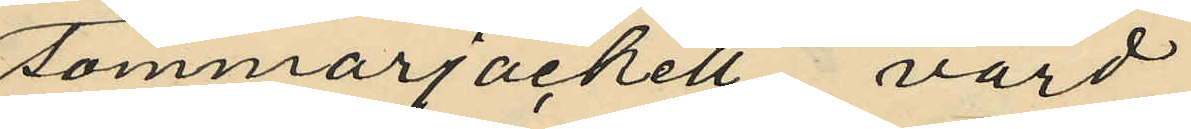sommarjackett, värd
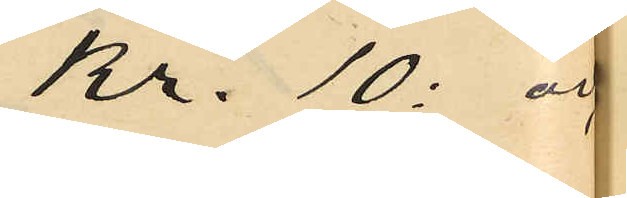Kr. 10: och
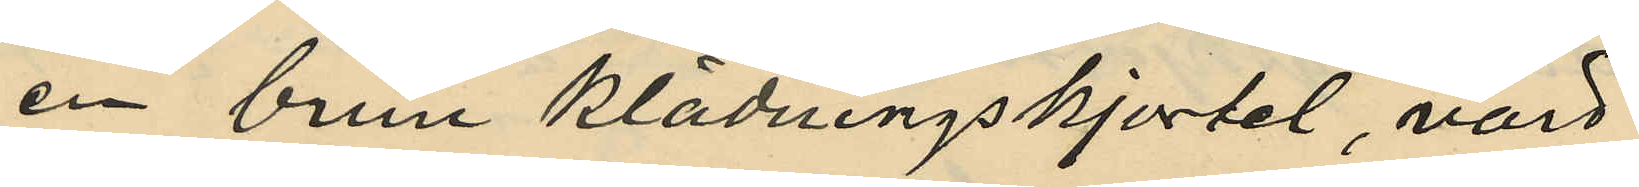en brun klädningskjortel, värd
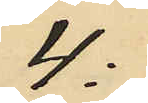4:
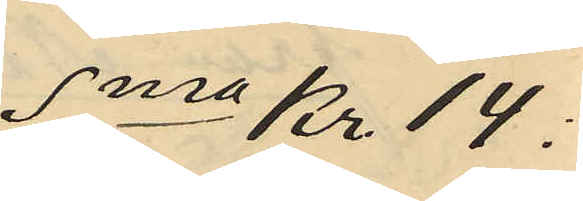Sma Kr 14:
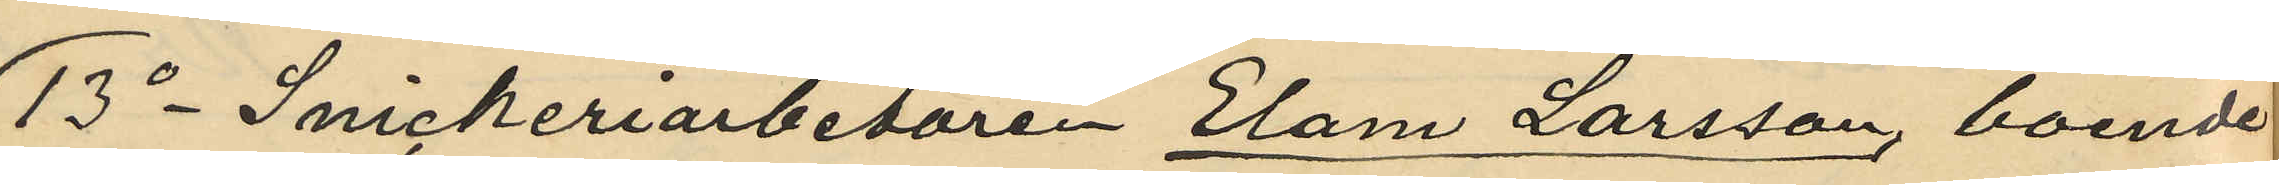13o Snickeriarbetaren Elam Larsson, boende
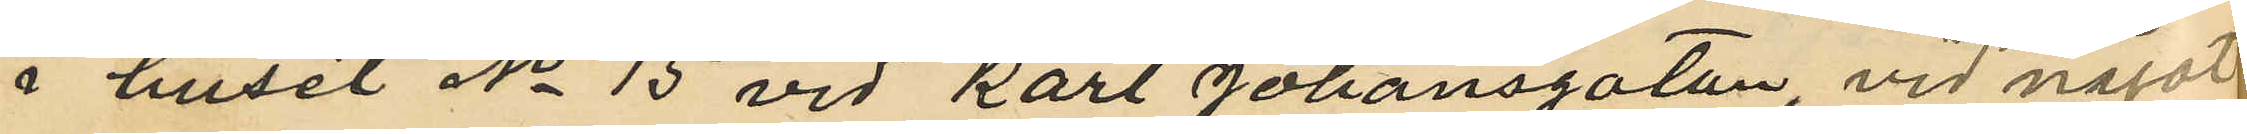i huset No 15 vid Karl Johansgatan, vid något
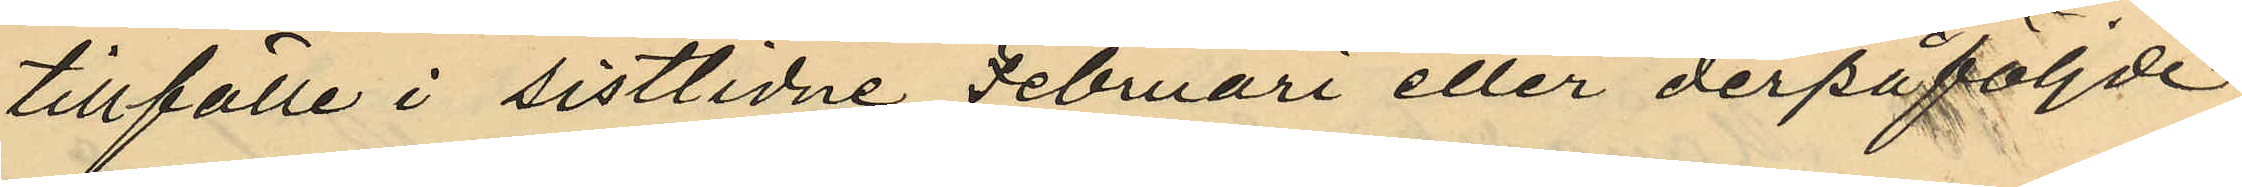tillfälle i sistlidne Februari eller derpåföljde
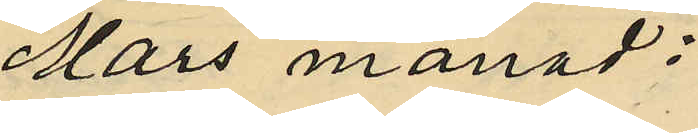Mars månad:
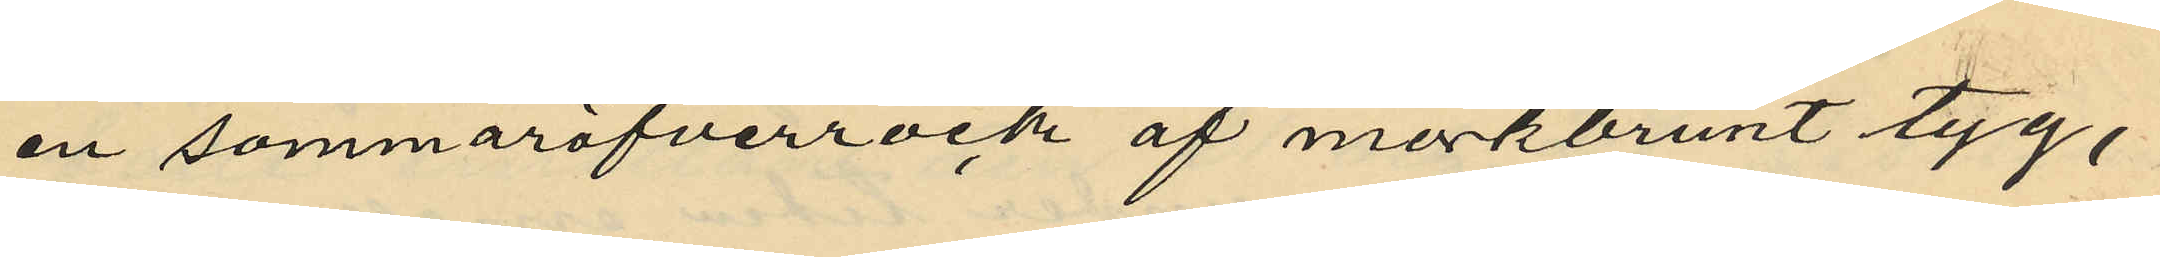en sommaröfverrock af mörkbrunt tyg,
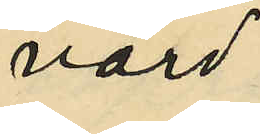värd
